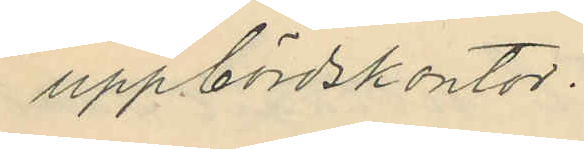uppbördskontor.
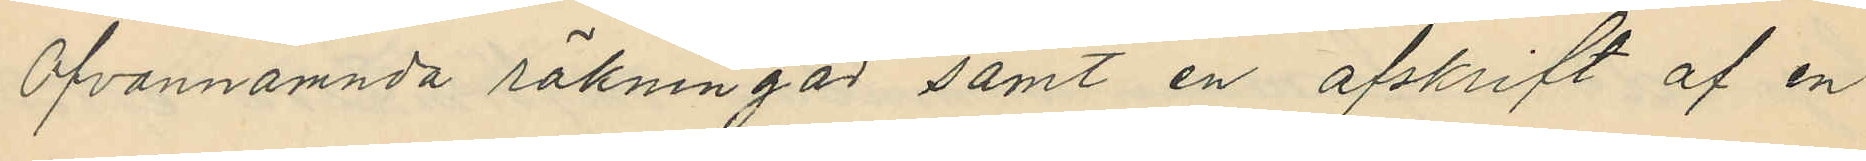Ofvannämnda räkningar samt en afskrift af en
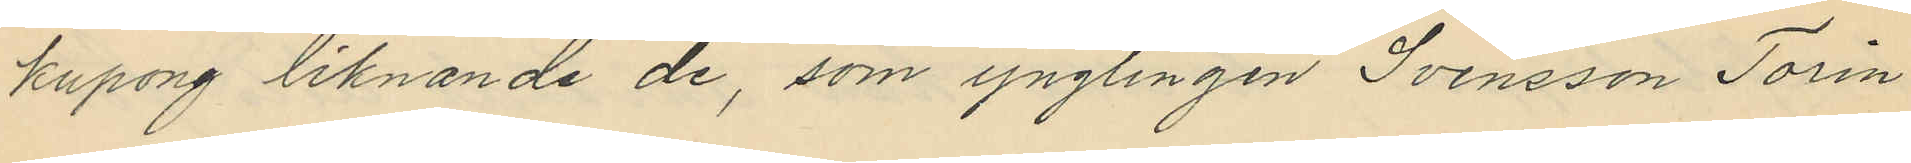kupong liknande de, som ynglingen Svensson Torin
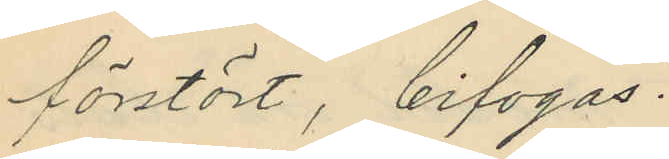förstört, bifogas.
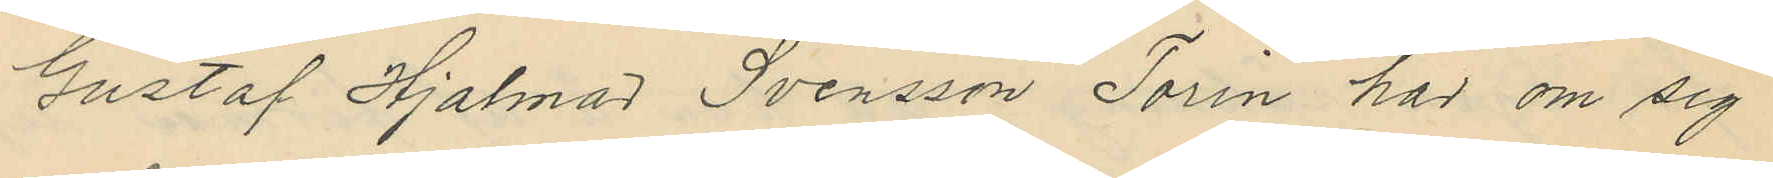Gustaf Hjalmar Svensson Torin har om sig
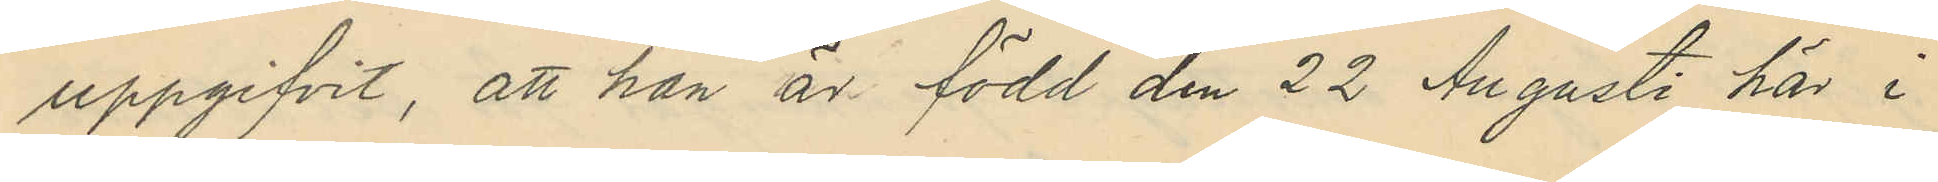uppgifvit, att han är född den 22 Augusti här i
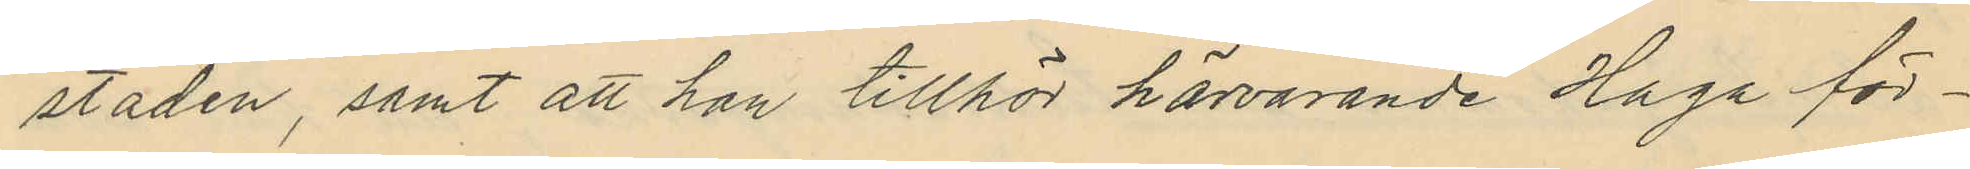staden, samt att han tillhör härvarande Haga för¬
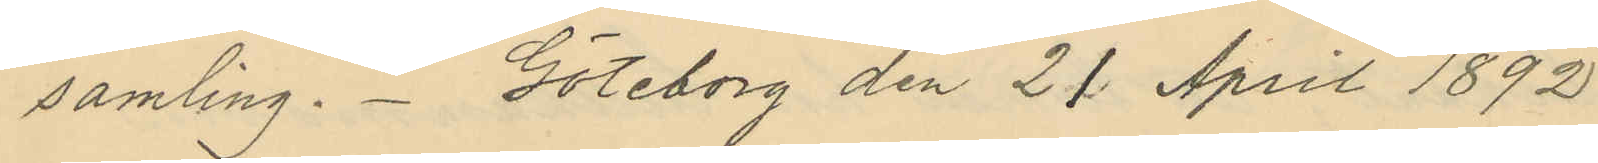samling. Göteborg den 21 April 1892.
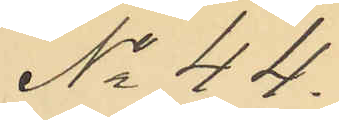No 44.
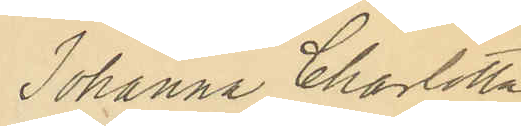Johanna Charlotta
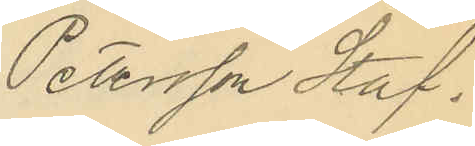Petersson Staf.
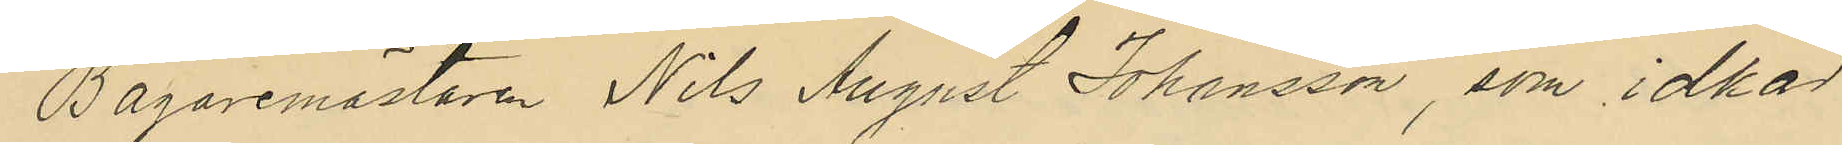Bagaremästaren Nils August Johansson, som idkar
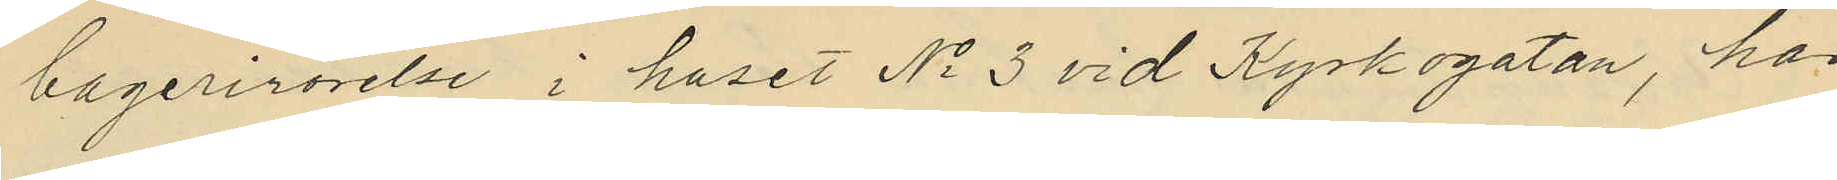bagerirörelse i huset No 3 vid Kyrkogatan, har
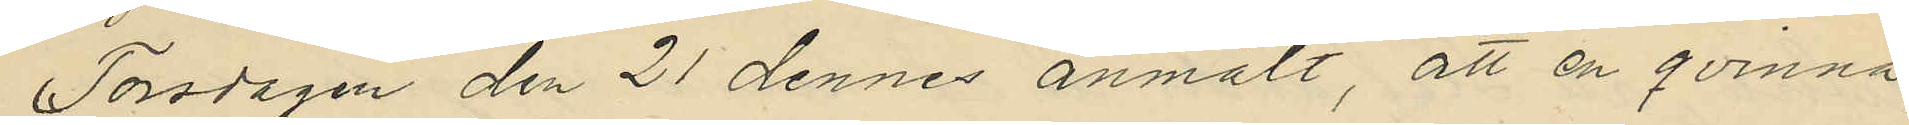Torsdagen den 21 dennes anmält, att en qvinna,
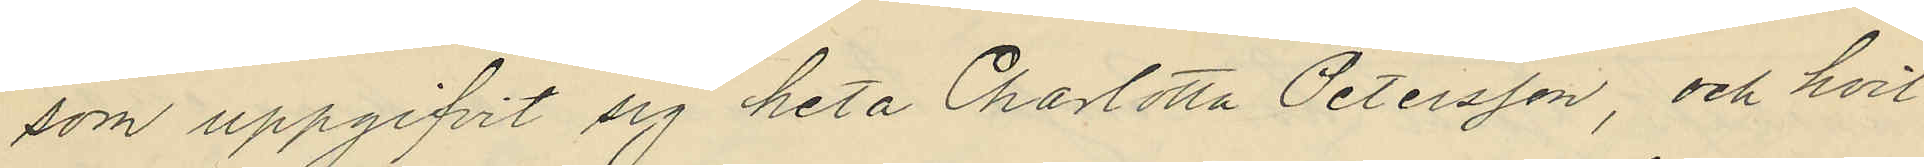som uppgifvit sig heta Charlotta Petersson, och hvil¬
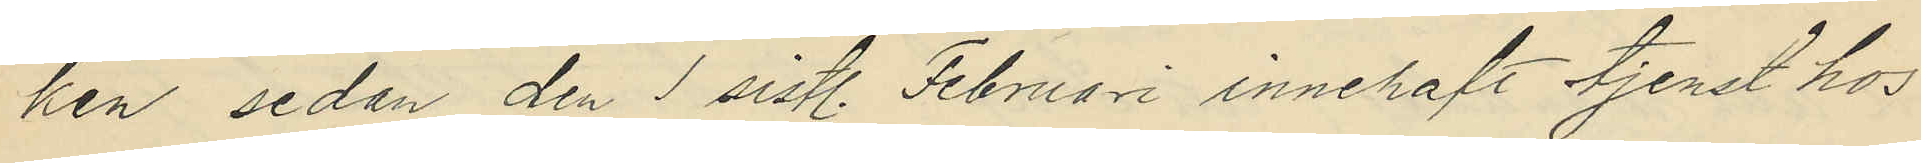ken, sedan den 1 sistl. Februari innehaft tjenst hos
